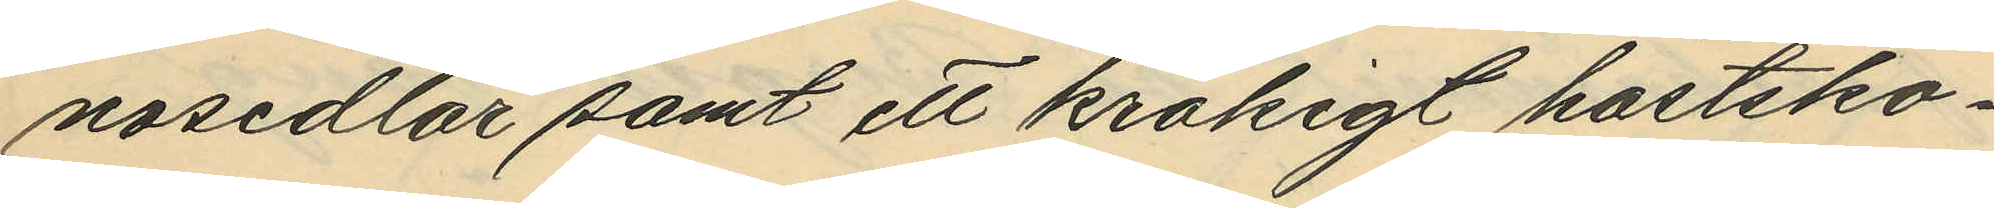nosedlar samt ett krokigt hästsko¬
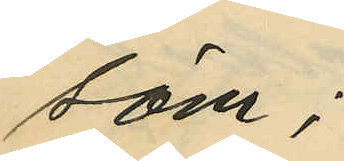söm;
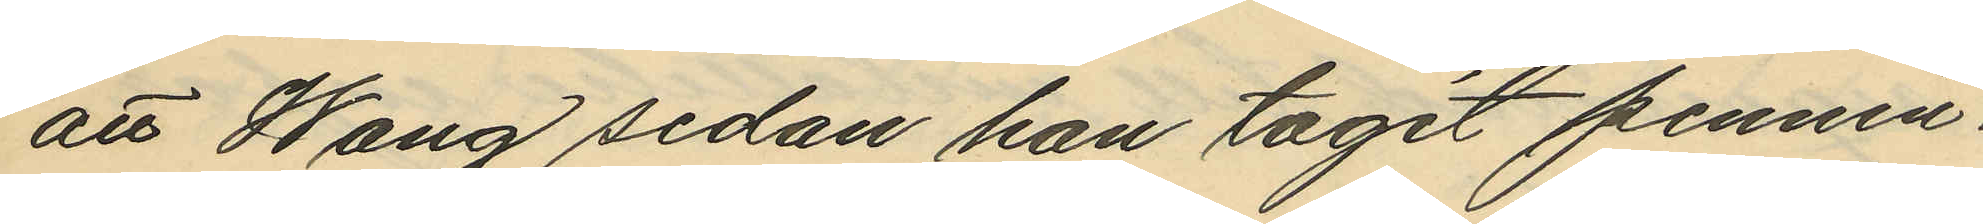att Wang sedan han tagit pennin¬
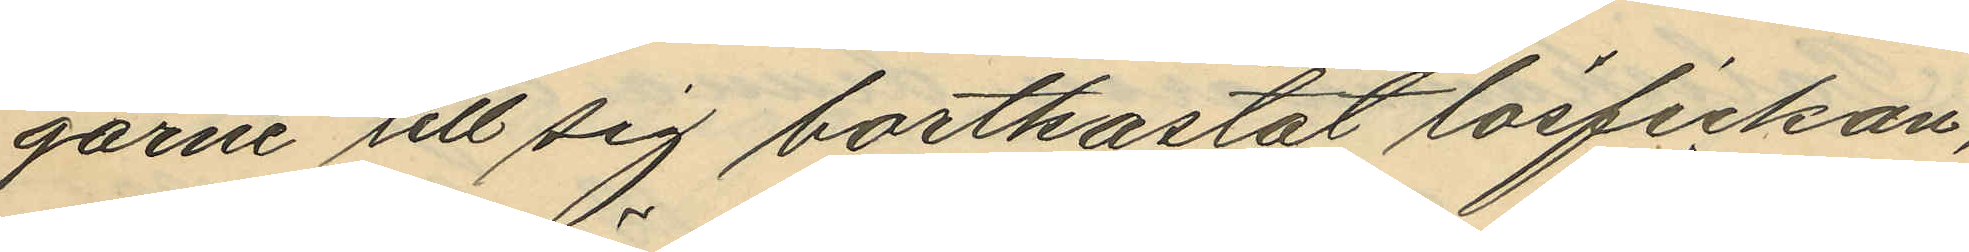garne till sig bortkastat lösfickan,
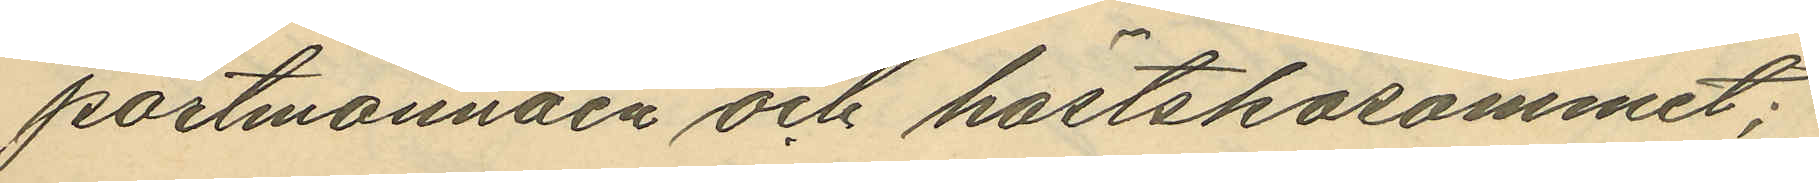portmonnäen och hästskosömmet;
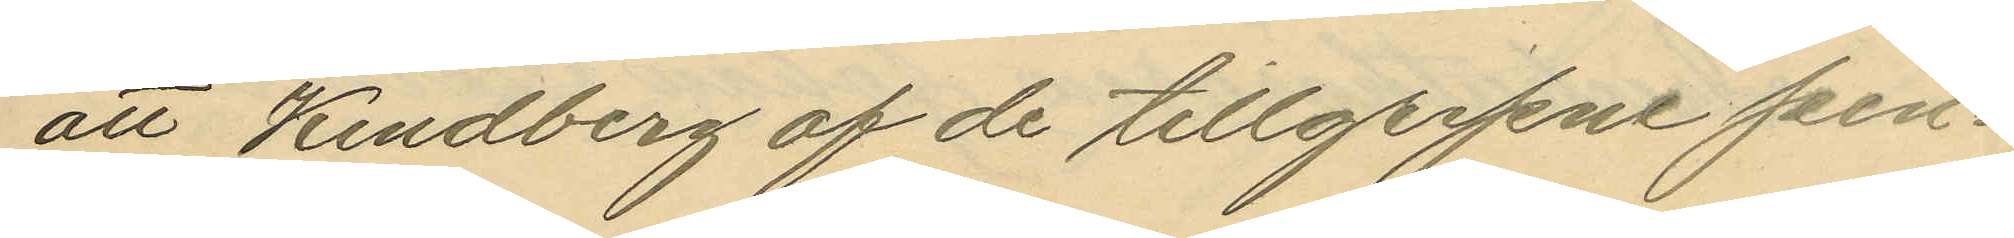att Kindberg af de tillgripne pen¬
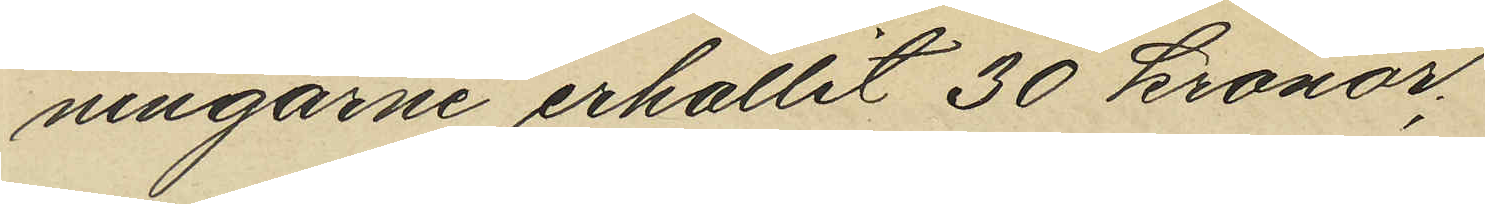ningarne erhållit 30 kronor,
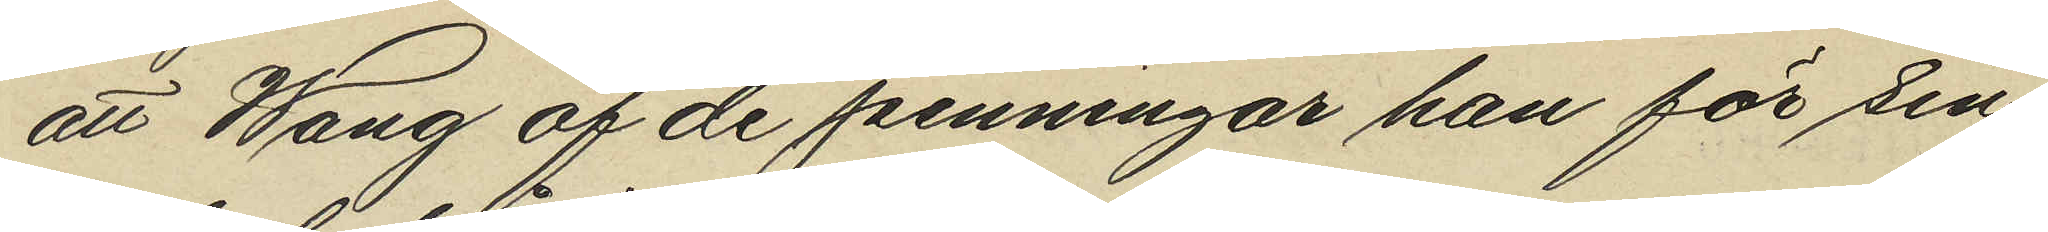att Wang af de penningar han för sin
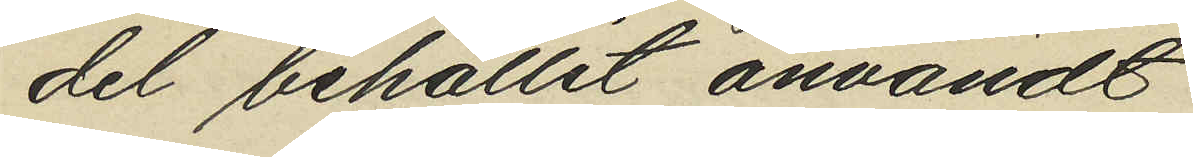del behållit användt
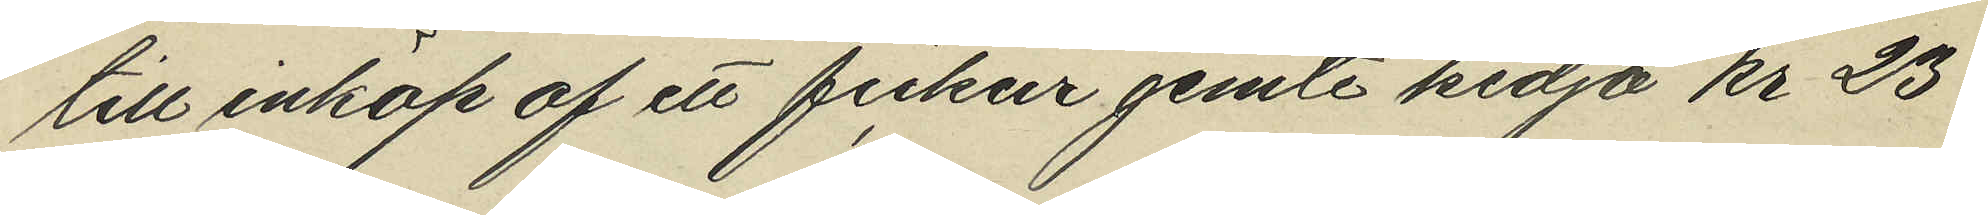till inköp af ett fickur jemte kedja kr 23
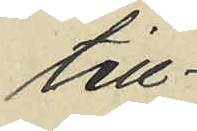till
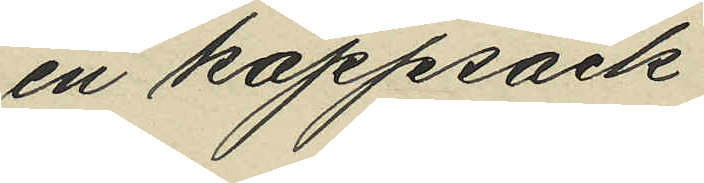en kappsäck
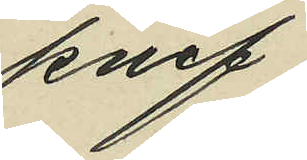knif
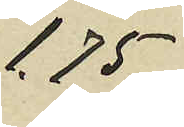1.75
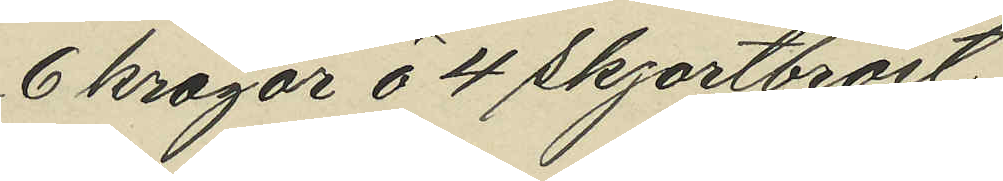6 kragor å 4 skjortbröst
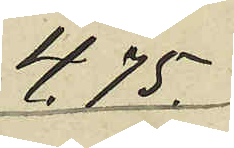4.75.
